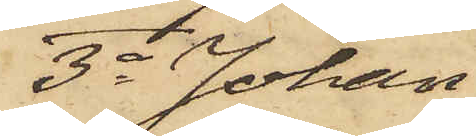3o Johan
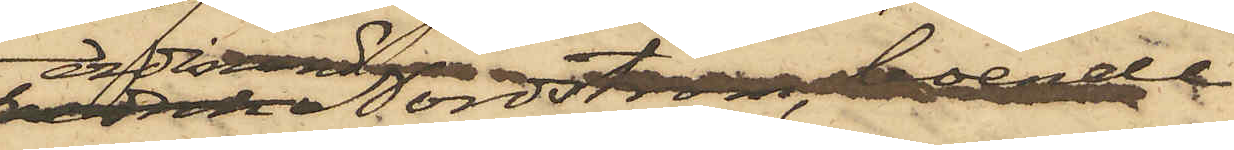Ferdinand Nordström, boende
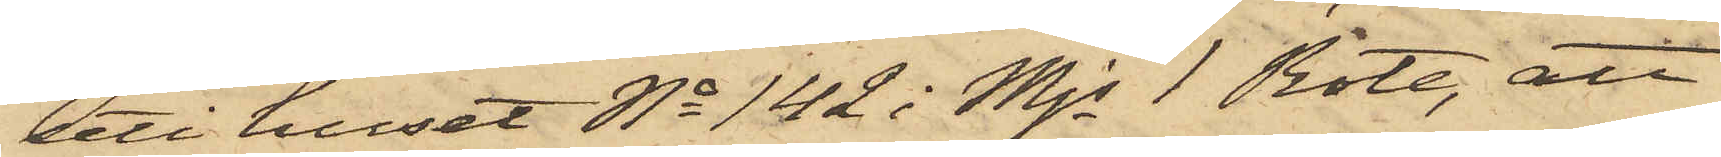uti huset No 142 i Mjs 1 Rote, att
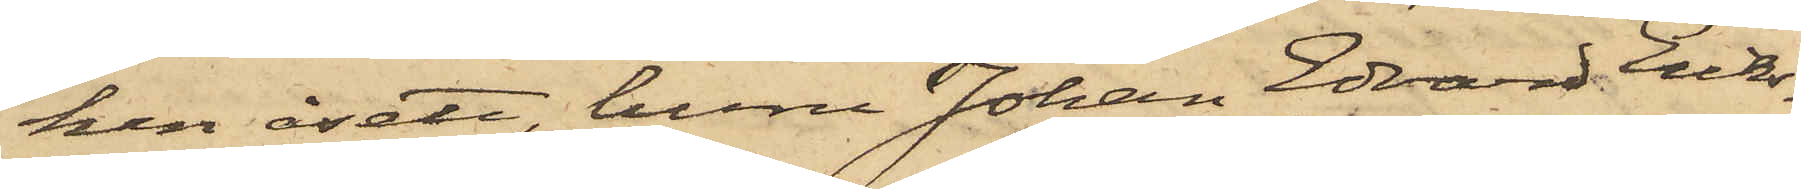han åsett, huru Johan Edvard Eriks¬
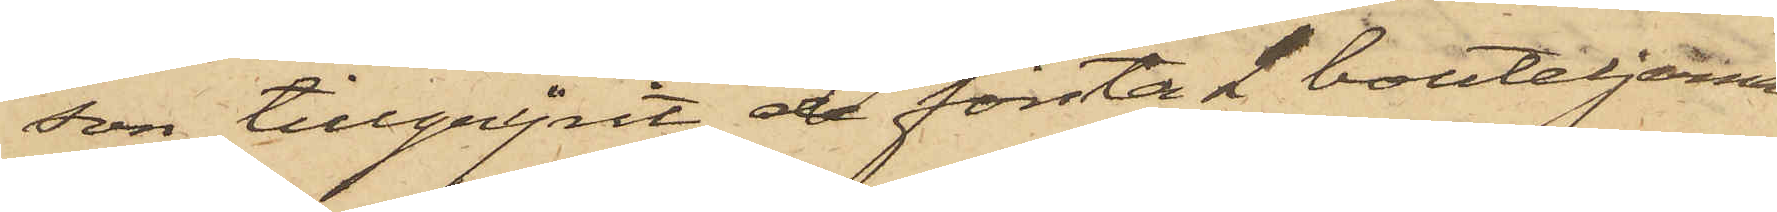son tillgripit de första 2 bouteljerna
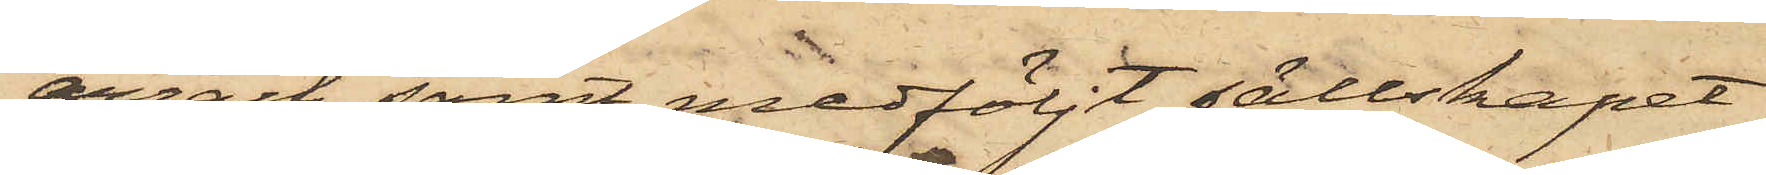arrack samt medföljt sällskapet
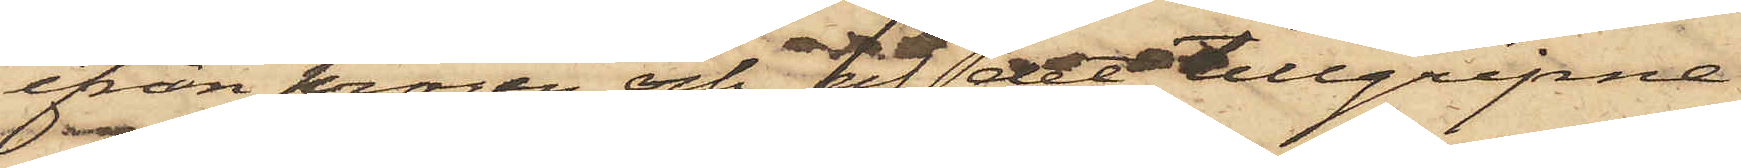ifrån krogen och af det tillgripne
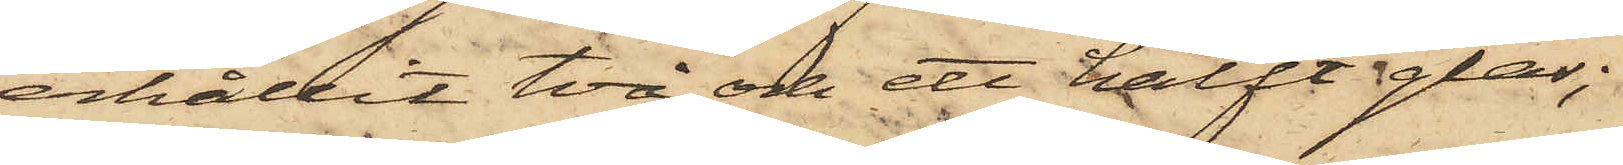erhållit två och ett halft glas;
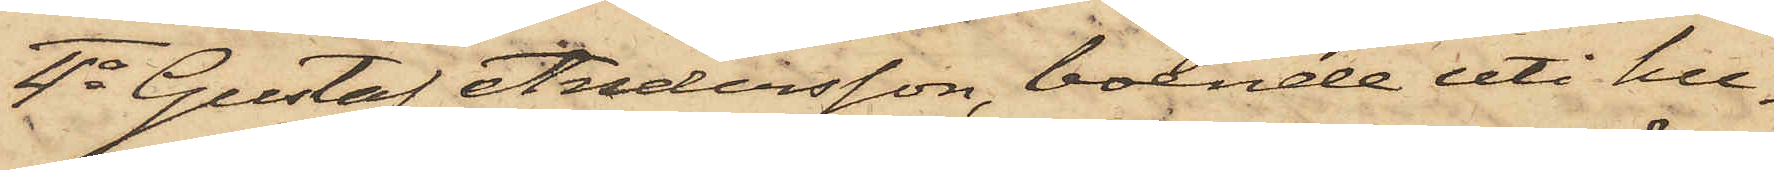4o Gustaf Andersson, boende uti hu¬
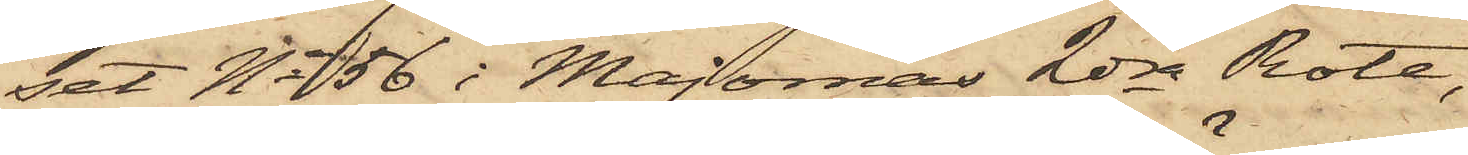set No 56 i Majornas 2dra Rote,
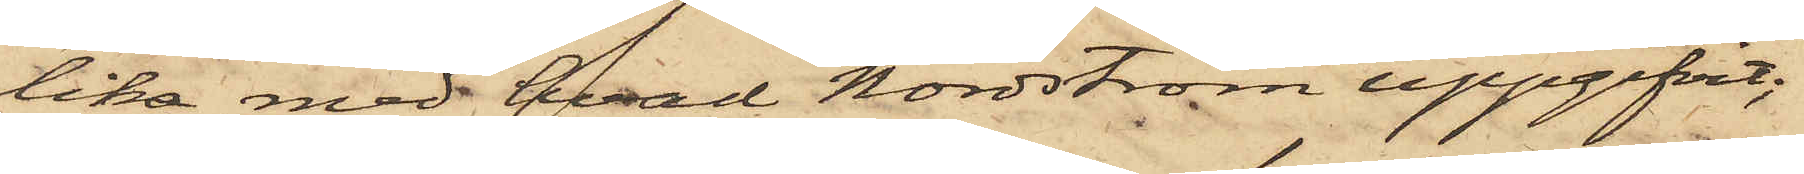lika med hvad Nordström uppgifvit;
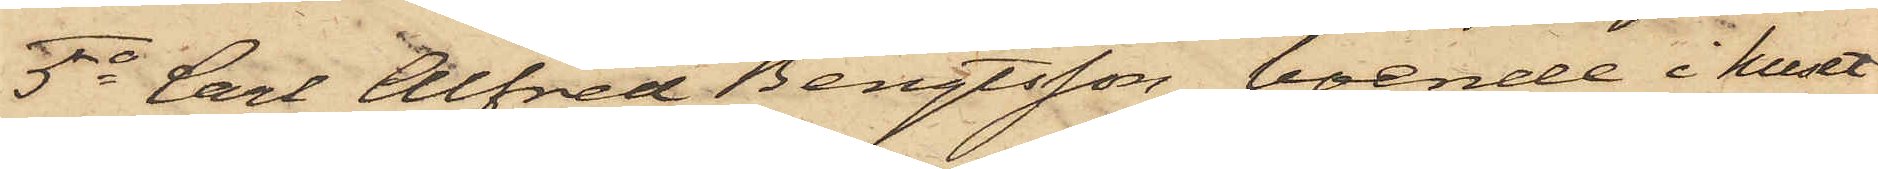5o Carl Alfred Bengtsson, boende i huset
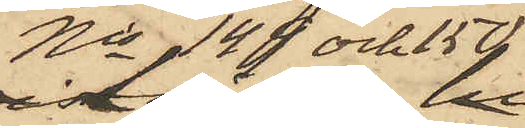No 149 och 150
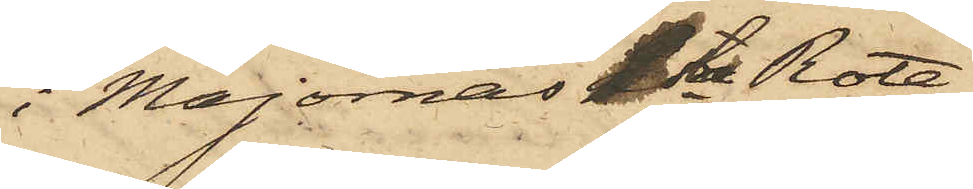i Majornas 1sta Rote,
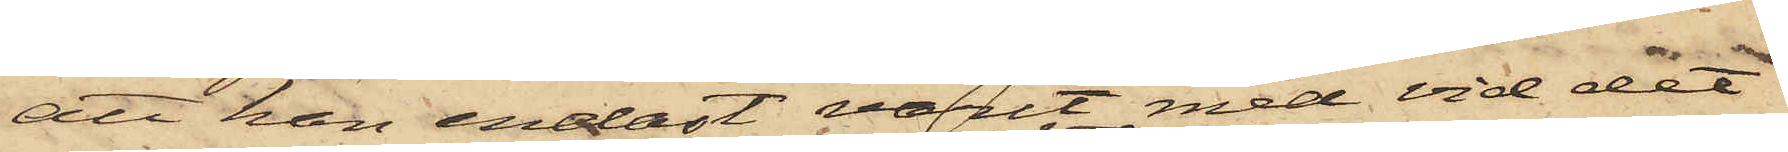att han endast varit med vid det
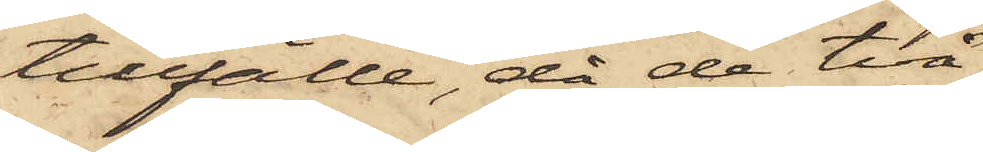tillfälle, då de två
